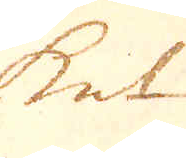ket
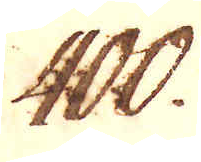400.
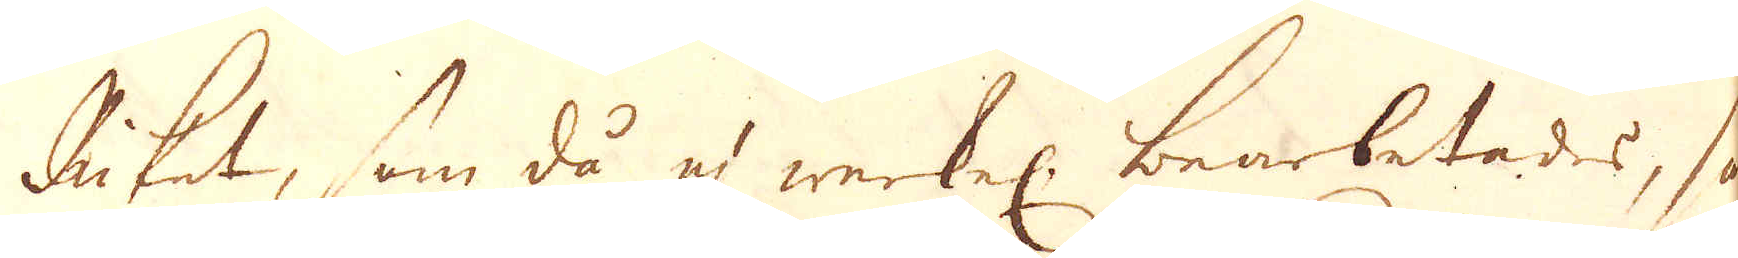Riket, som då ej werkel: bearbetads, så
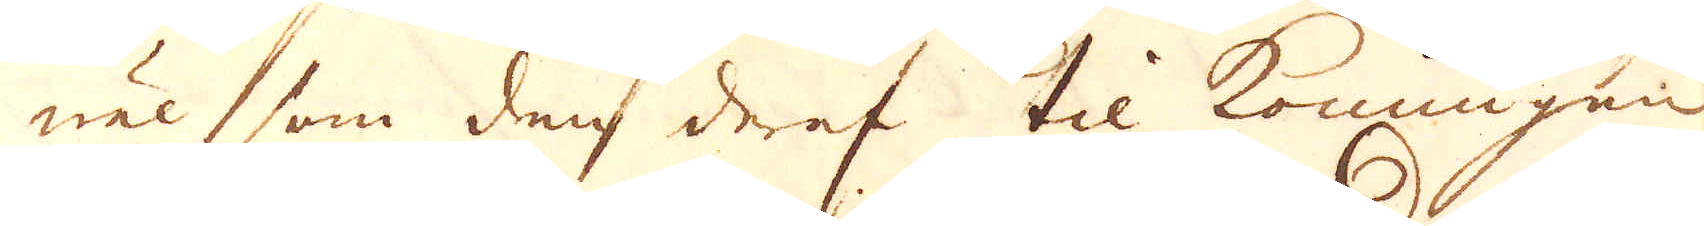wäl som den deraf til Konungen
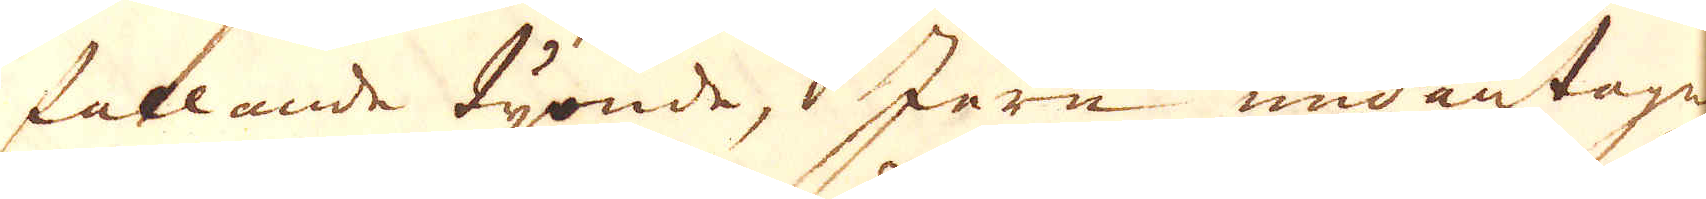fallande tijonde, Jern undantage
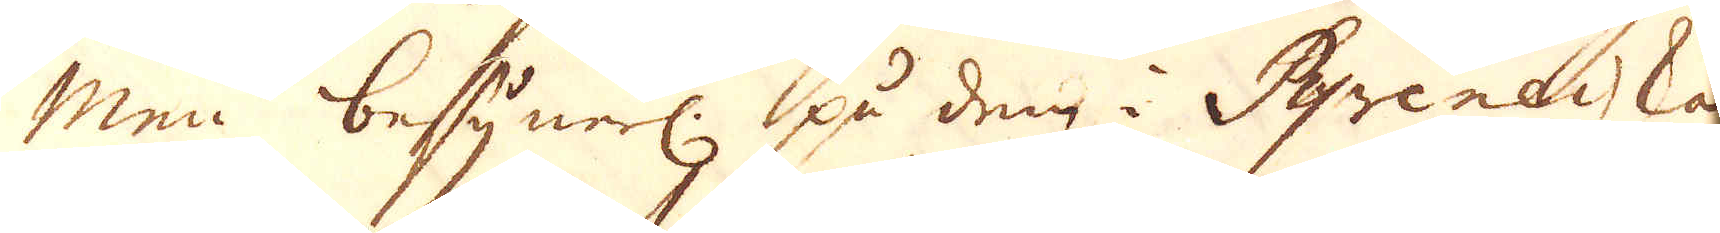Men besynerl: på dem i Pyreneiska
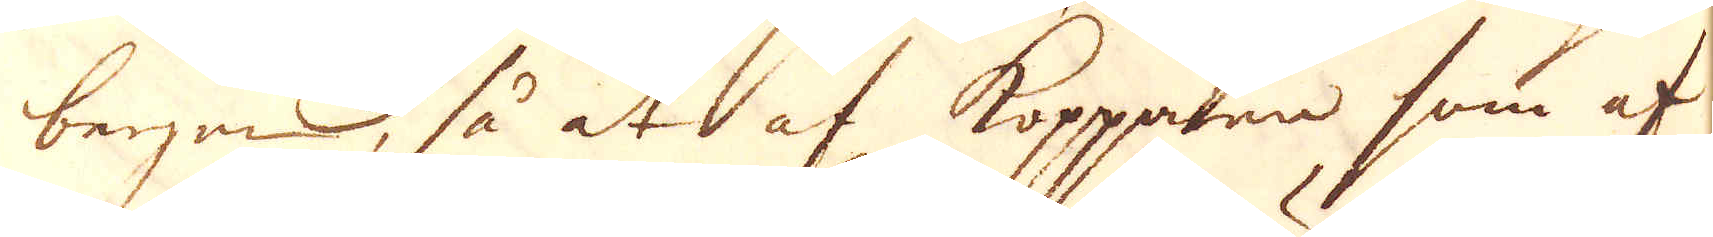bergen, så at af kopparen som af
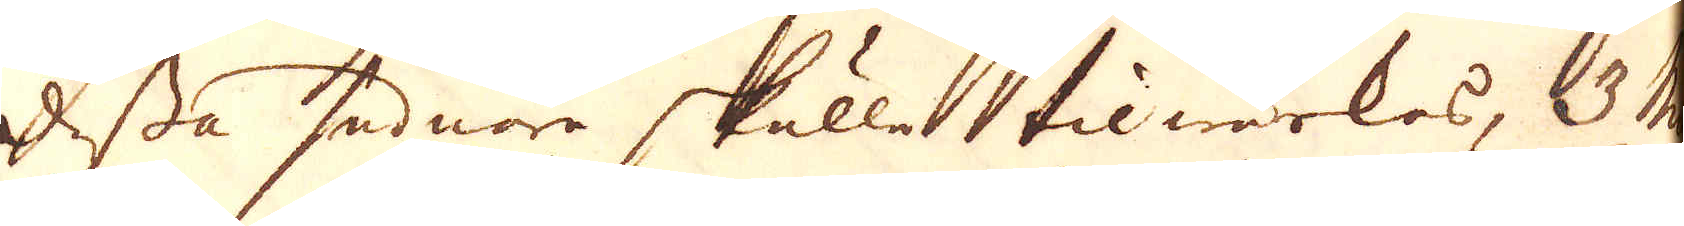dessa sednare skulla tilwärkas, 3 mi-
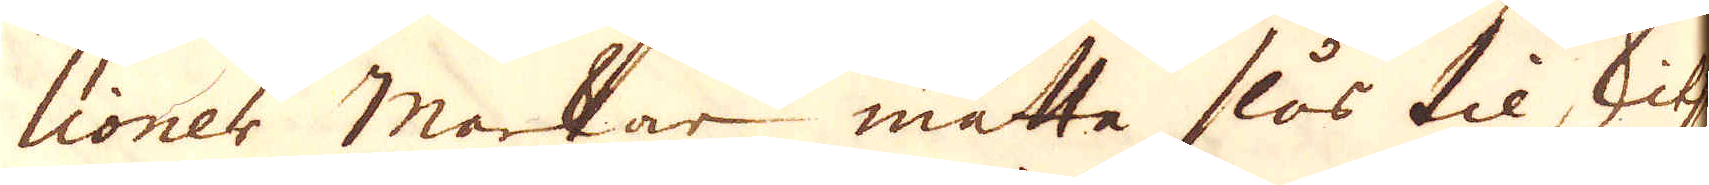lioner marker måtta slås til silf
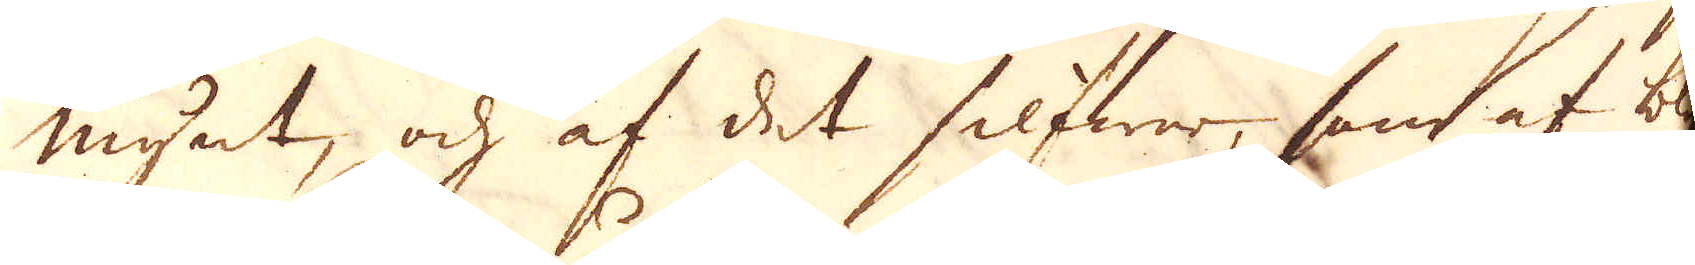mynt, och af det silfwer, samt af bly-
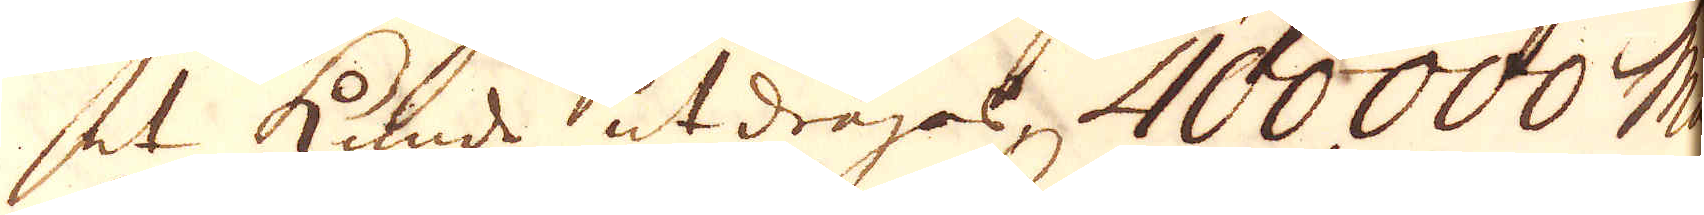et kunde utdragas, 400000 Mar-
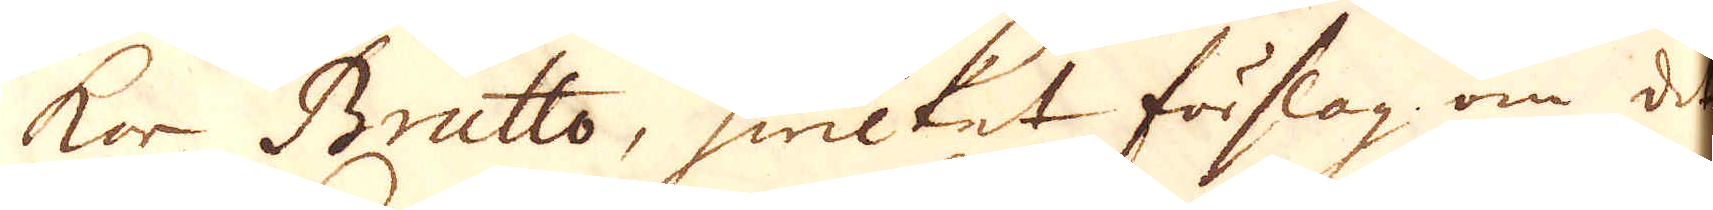ker Brutto, hwilket förslag om det
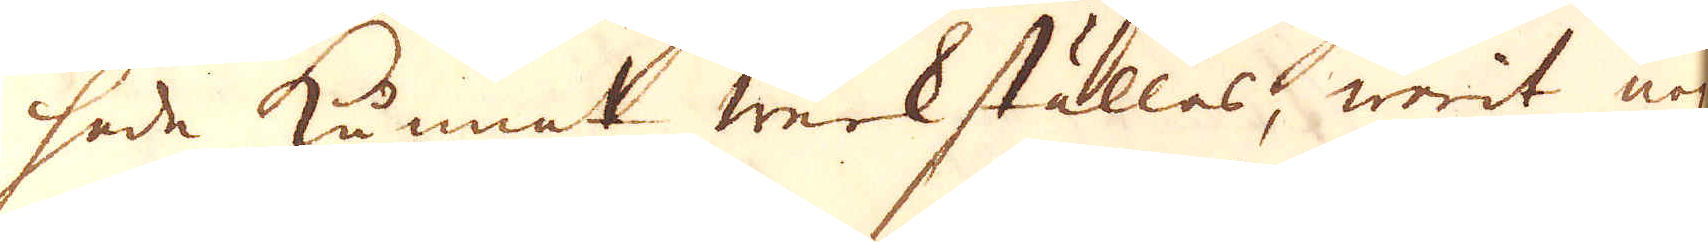hade kunnat werkställas, warit nog
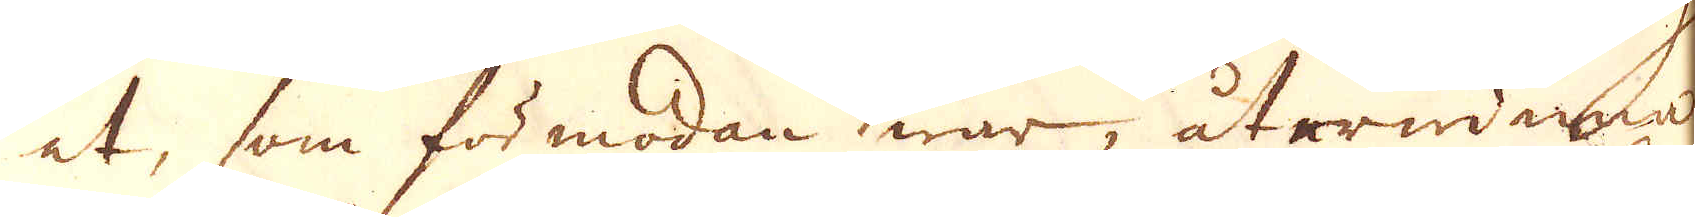at, som för modan war, återwinna
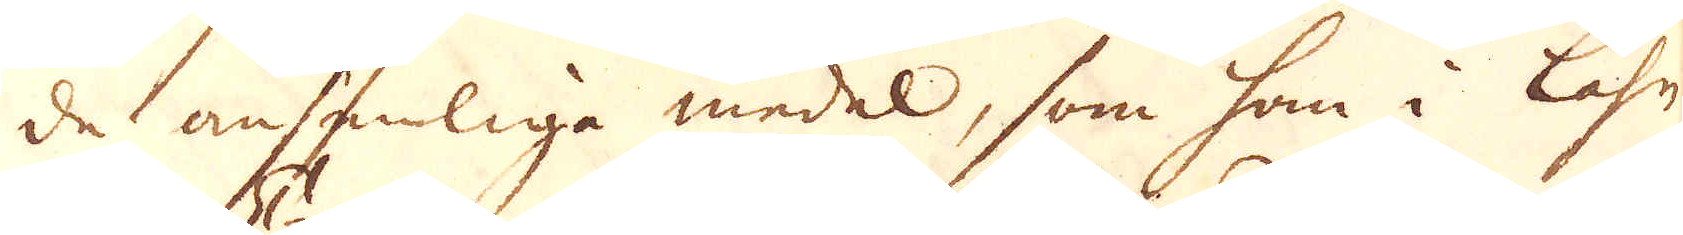de ansenliga medel, som han i Låhn
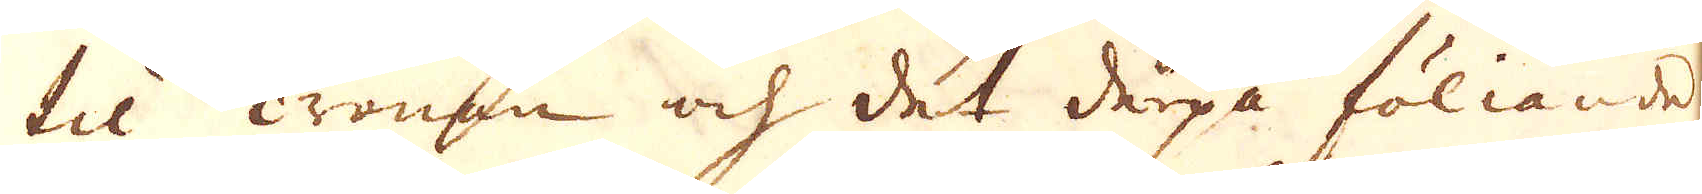til Cronan och det derpå föliande
